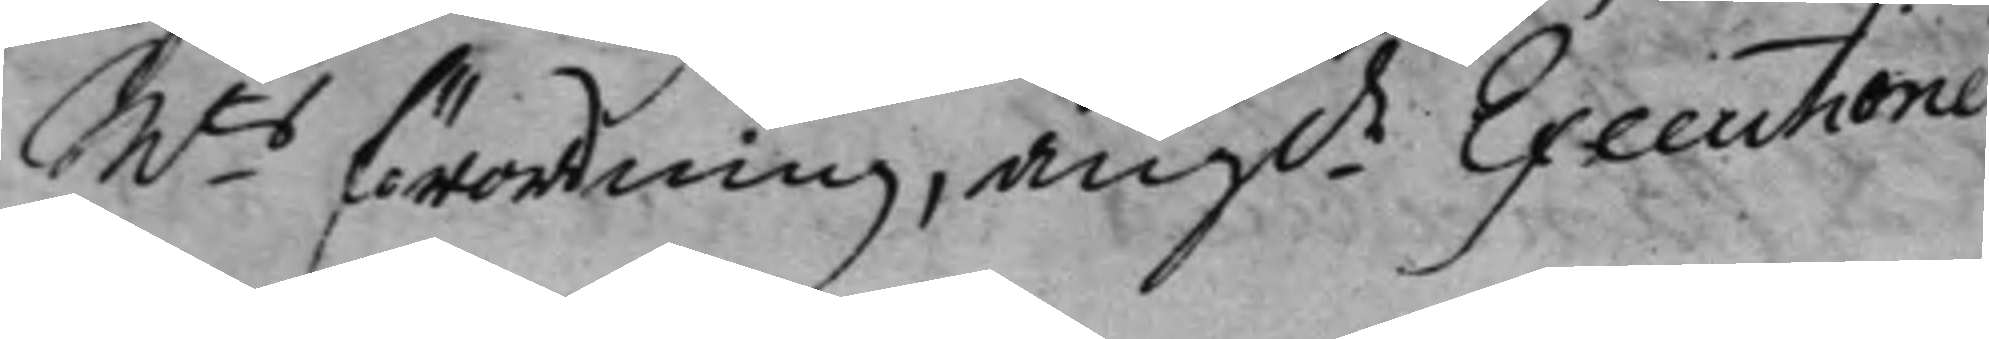Mts förordning, angde Executioner
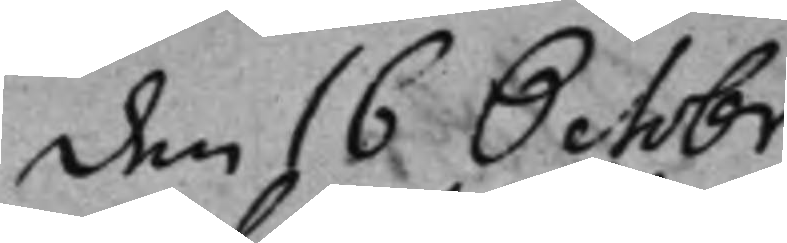den 16 Octobr.
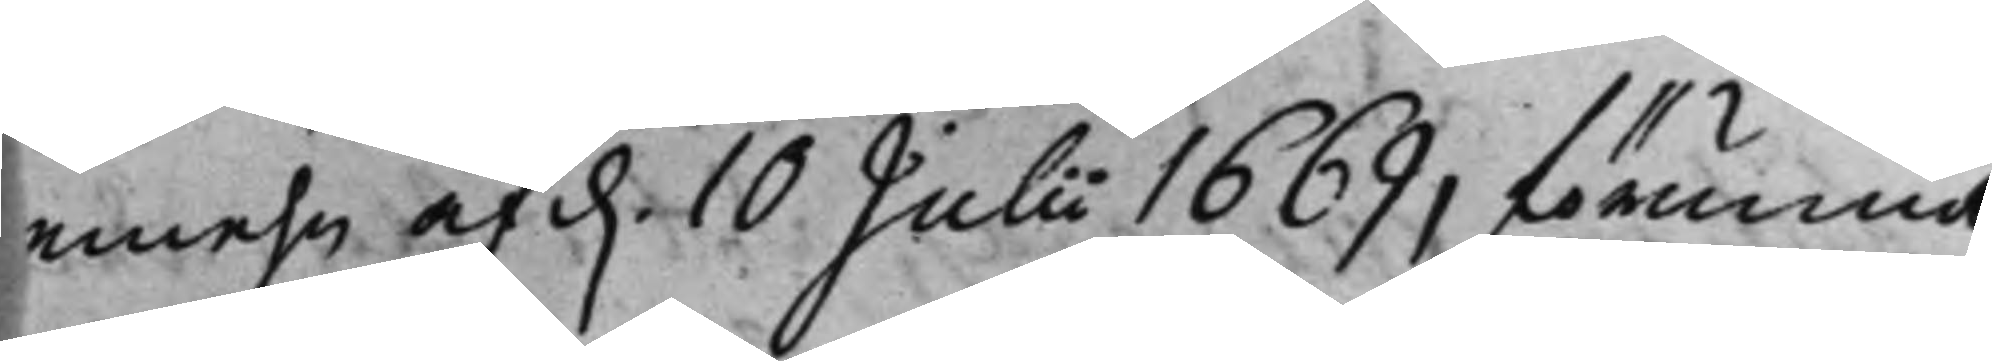emehn af d. 10 Julii 1669, förunna
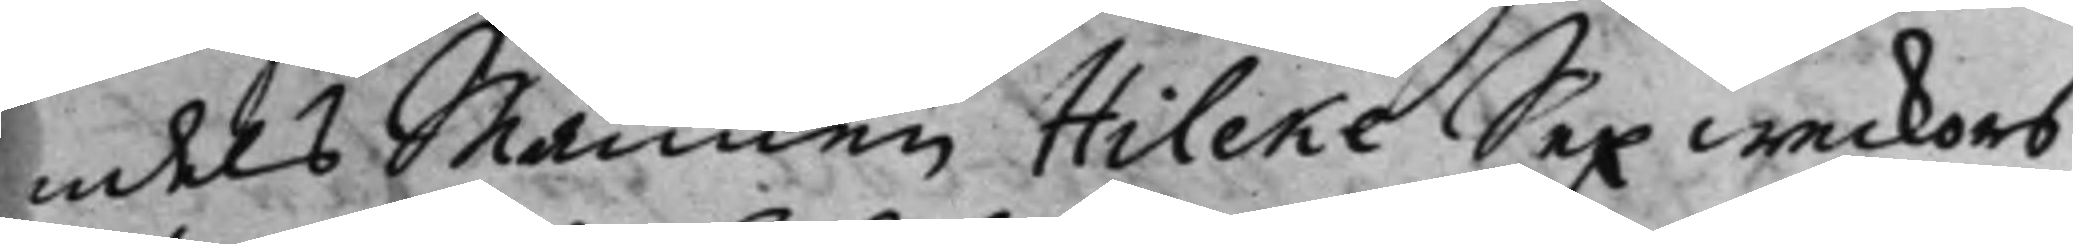ndels Mannen Hilcke Sex weckors
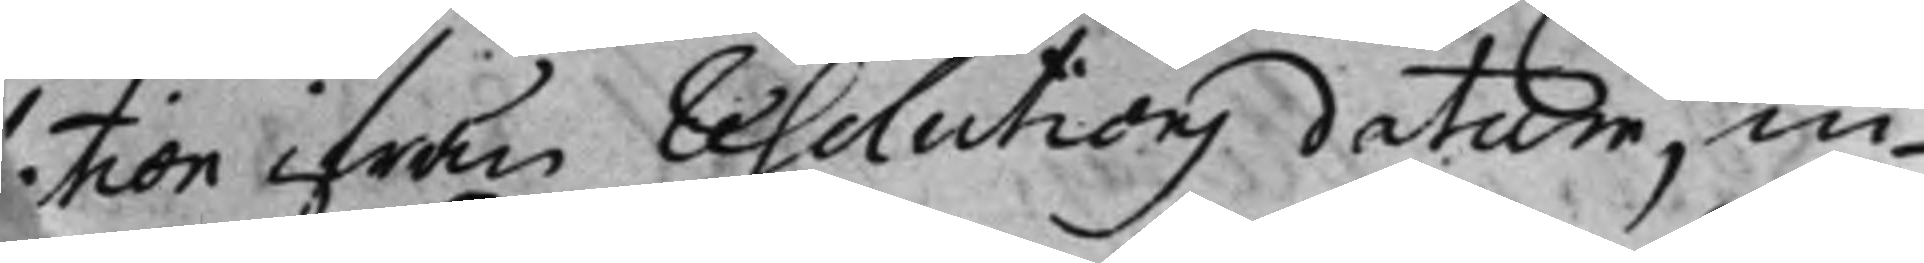lation ifrån Resolutions datum, in¬
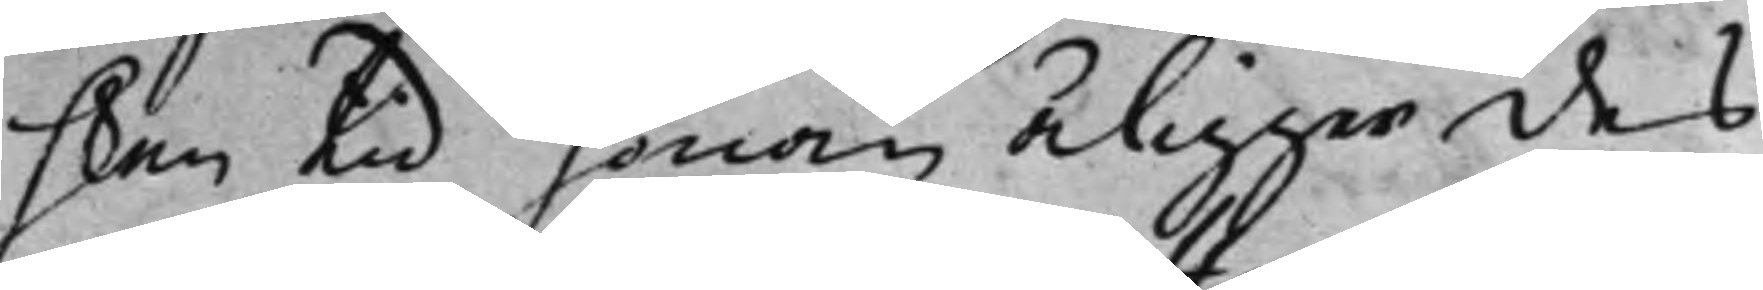 hken tid honom åligger des
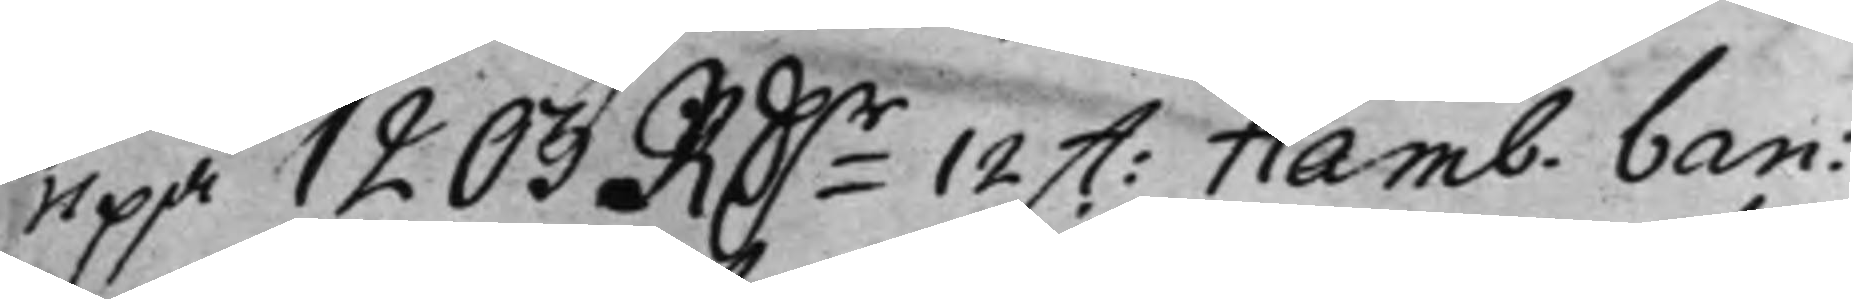uppå 1203 RDr 12 st: Hamb. ban:
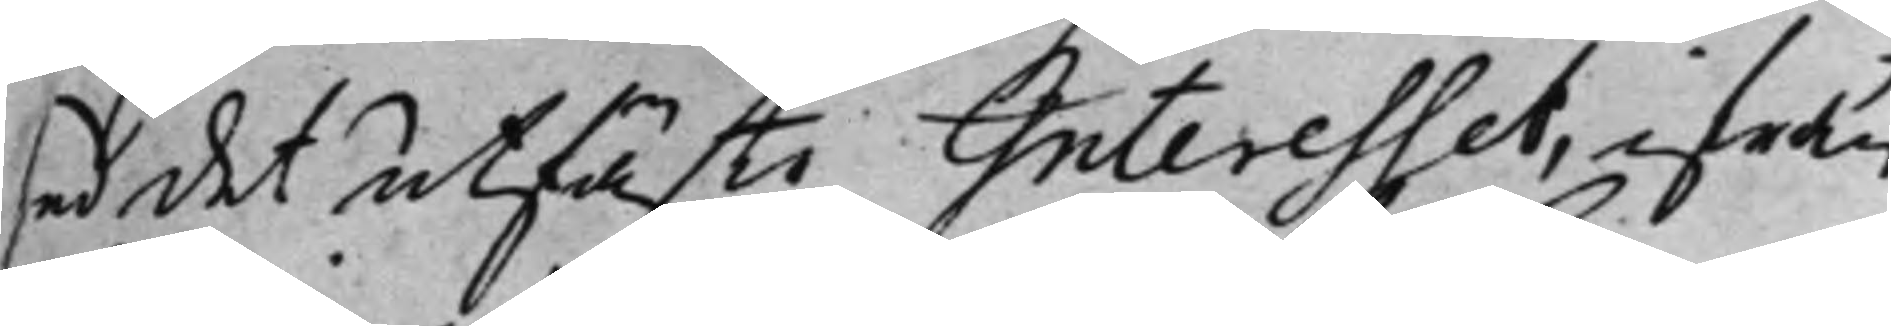ed det utfäste Interesset, ifrån
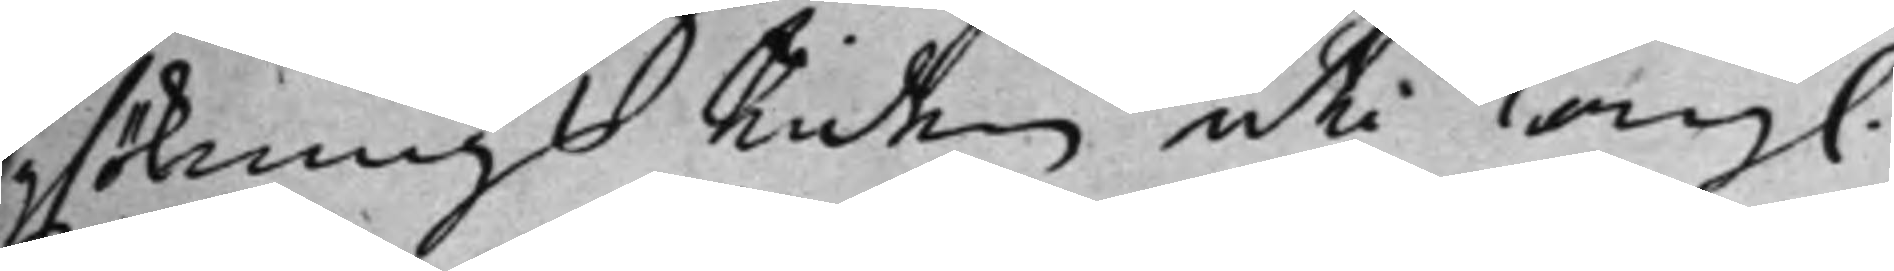söknings Tiden uti Kongl.
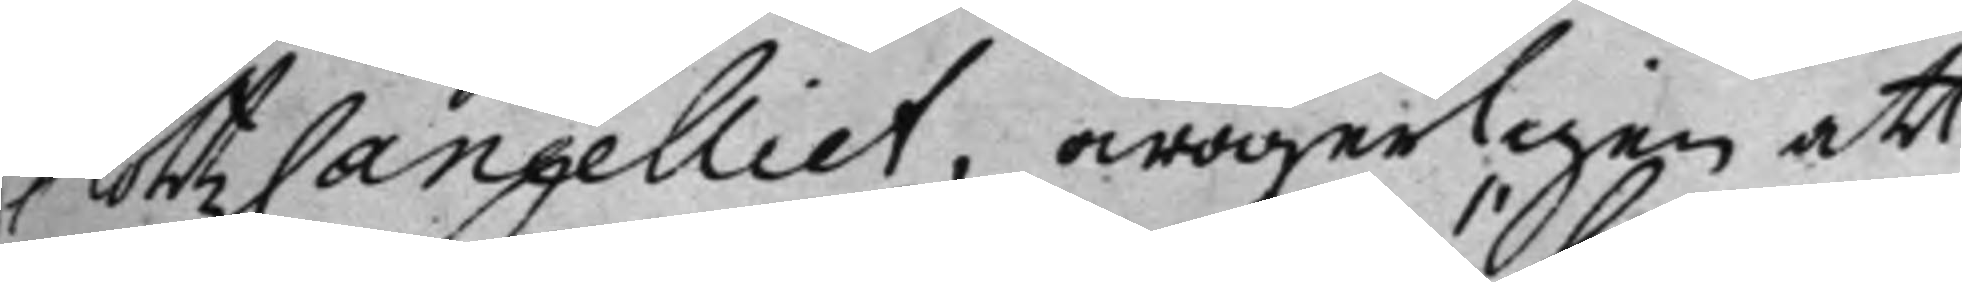SlottzCancelliet, owägerligen att
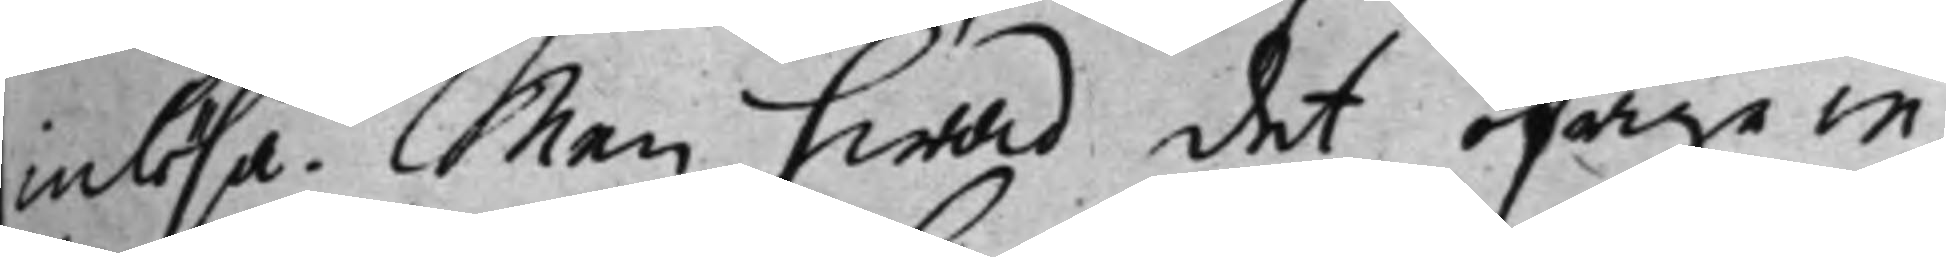inlösa. Men hwad det öfrige in¬
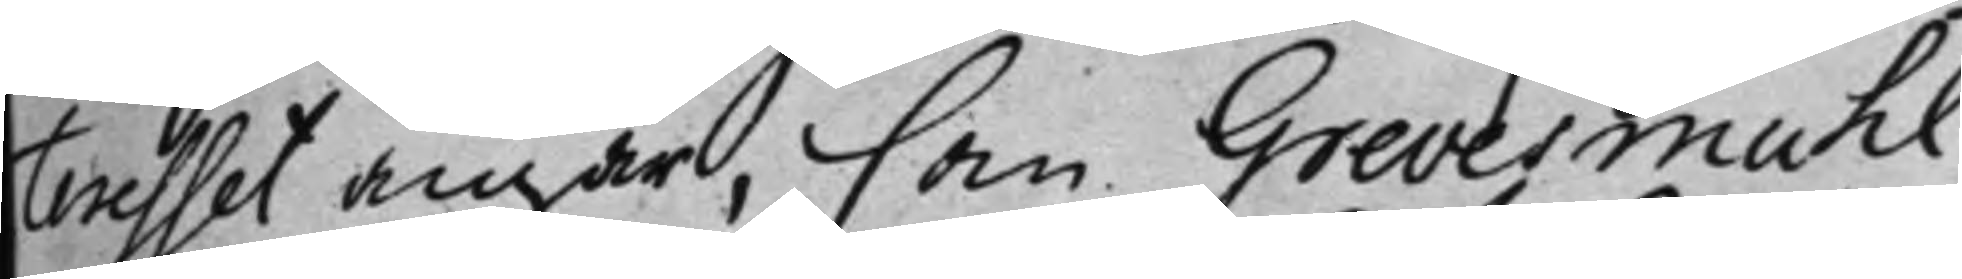teresset angår, som Grevesmuhl
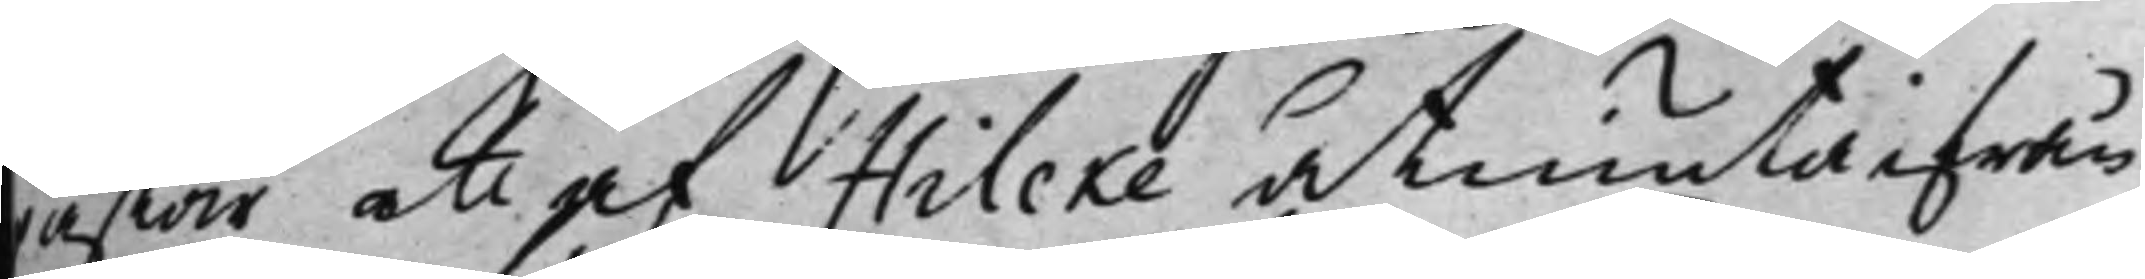påstår att af Hilcke åtniuta ifrån
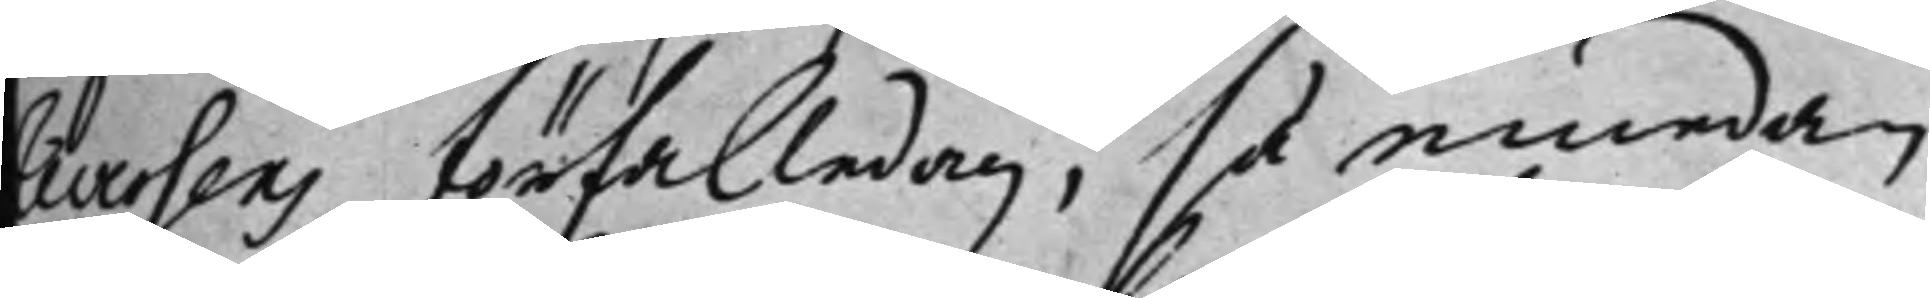reversens förfalledag; så emedan
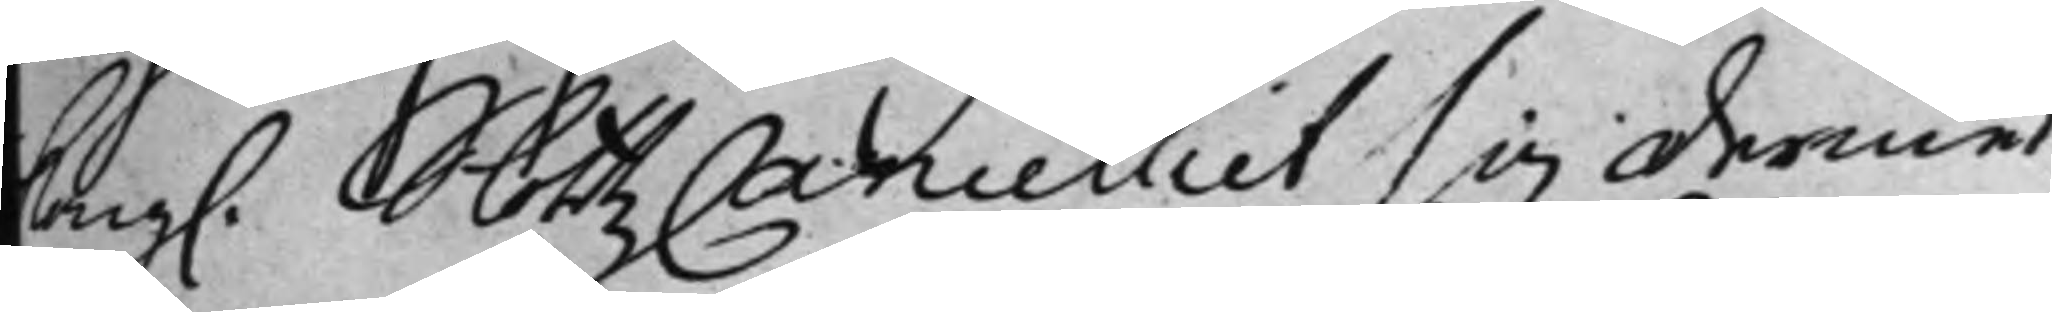Kong. SlottzCancelliet sig dermed
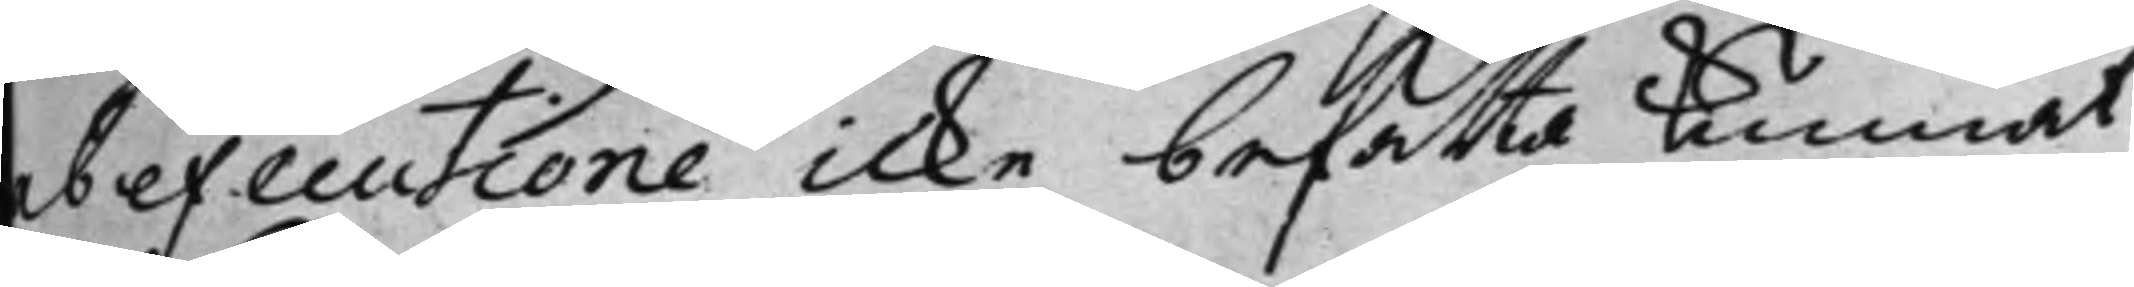ab executione icke befatta kunnat,
